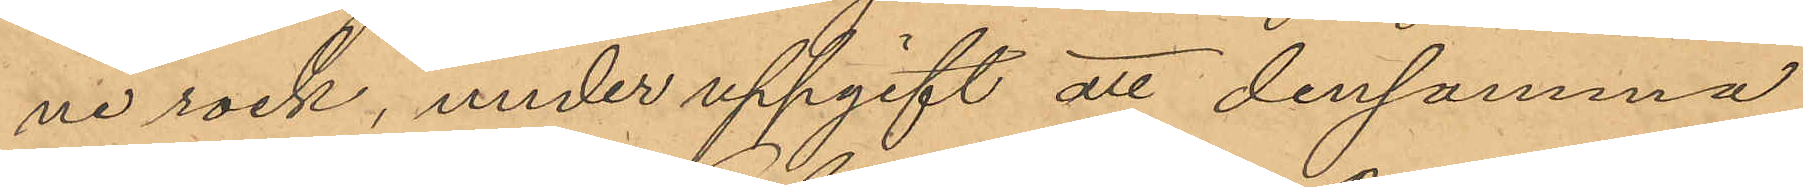ne rock, under uppgift att densamma,
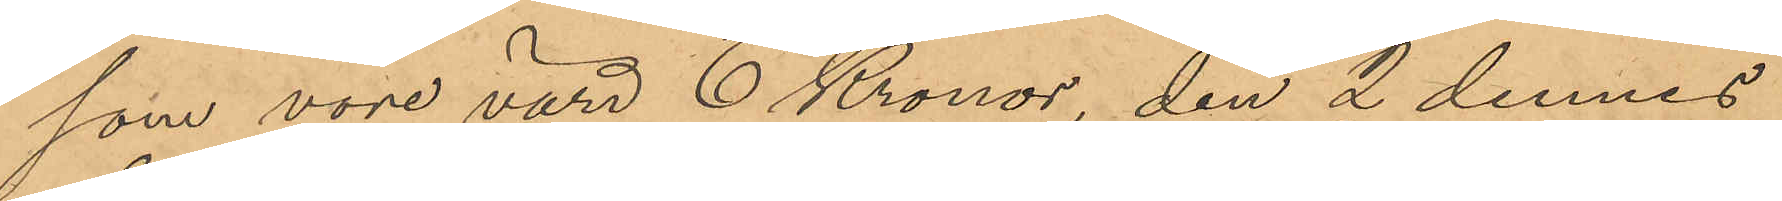som vore värd 6 Kronor, den 2 dennes
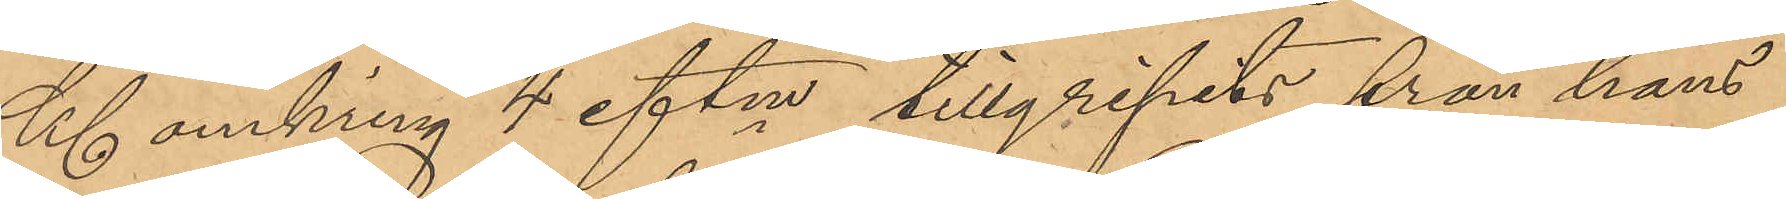Kl. omkring 4 eftm tillgripits från hans
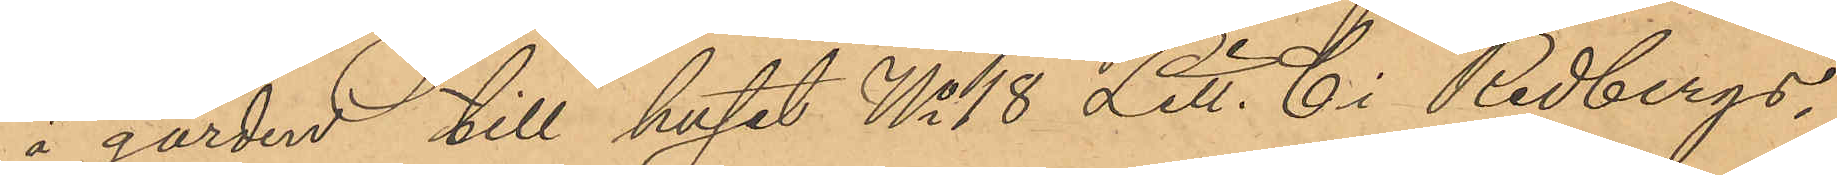å gården till huset No 18 Litt. C i Redbergs¬
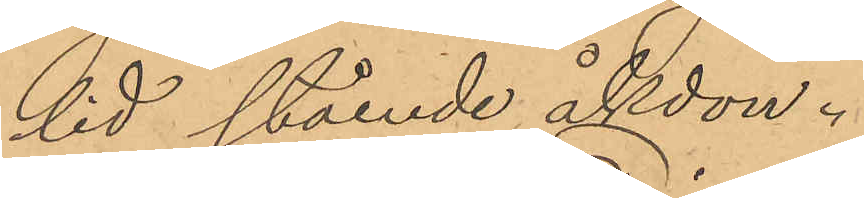lid stående åkdon.
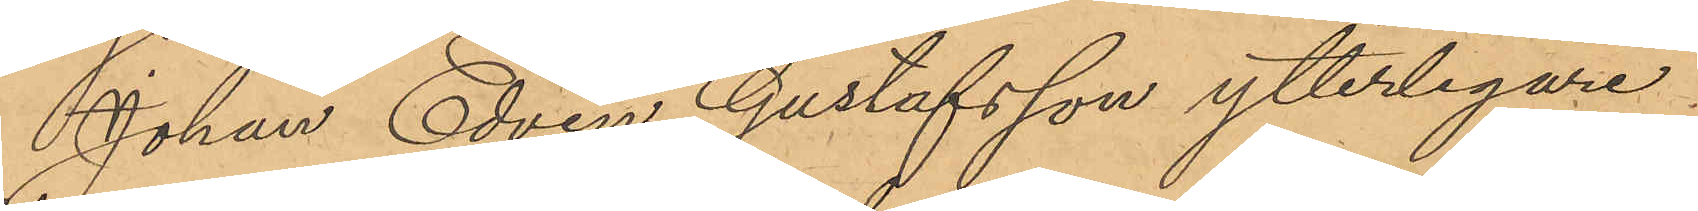Johan Edvin Gustafsson ytterligare
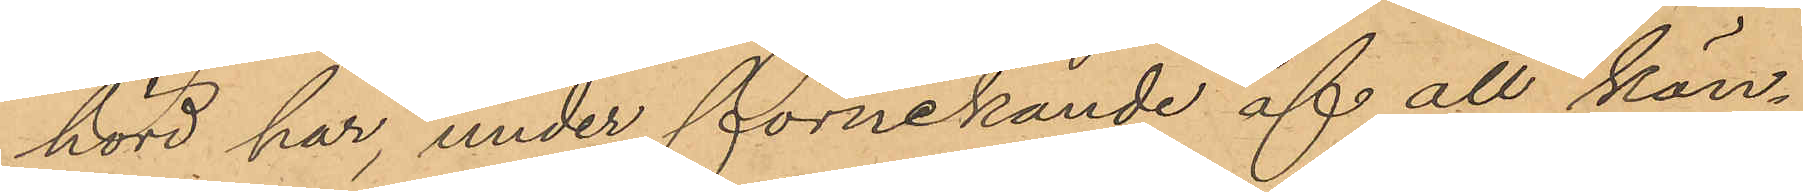hörd har, under förnekande af all kän¬
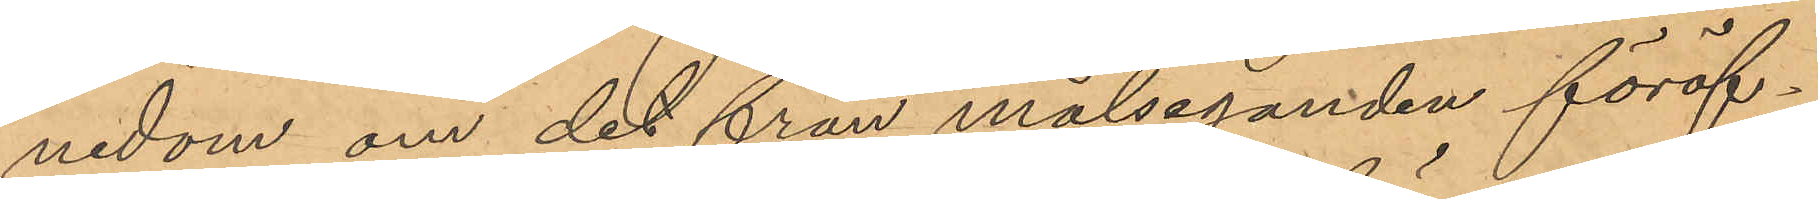nedom om det från målseganden föröf¬
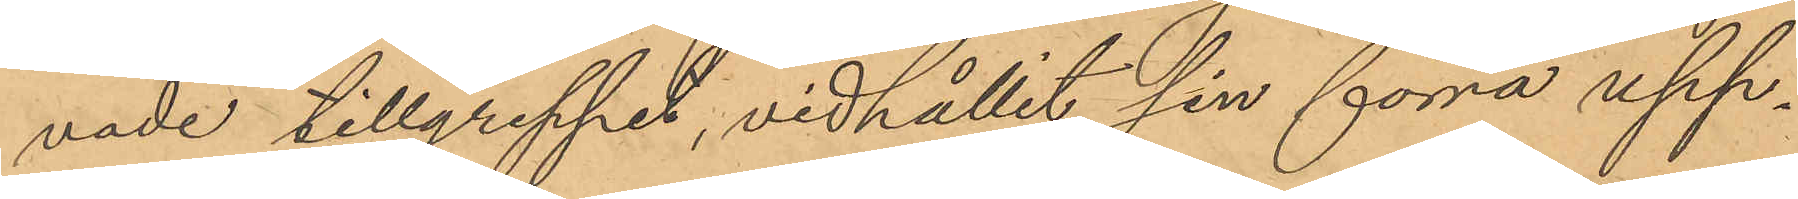vade tillgreppet, vidhållit sin förra upp¬
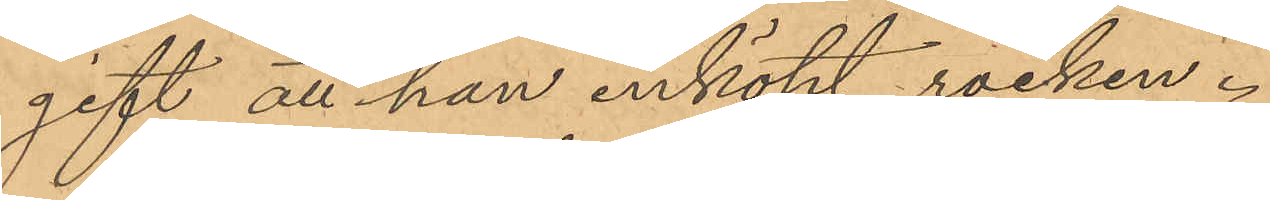gift att han inköpt rocken.
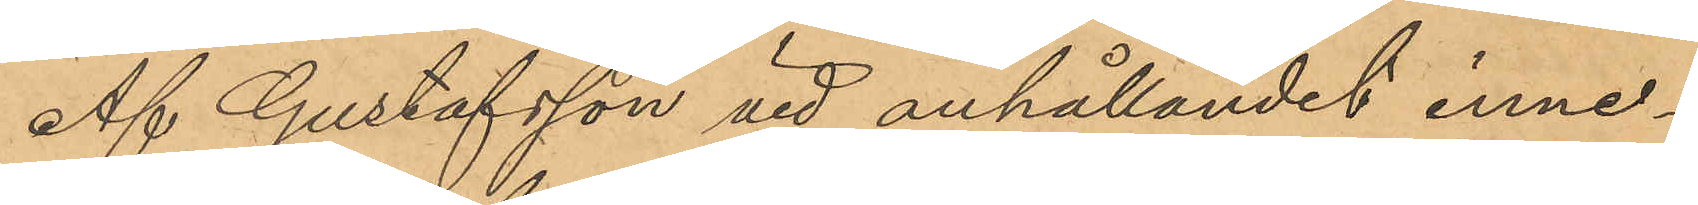Af Gustafsson vid anhållandet inne¬
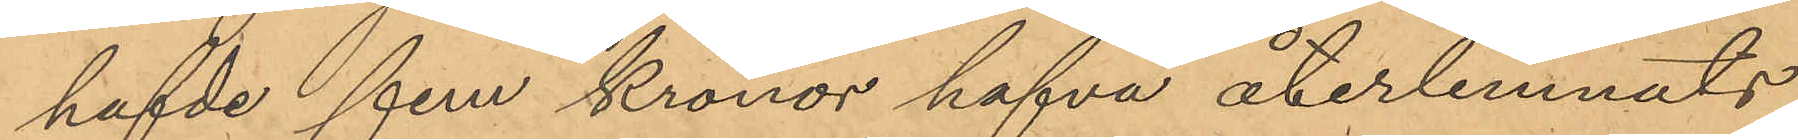hafde fem kronor hafva återlemnats
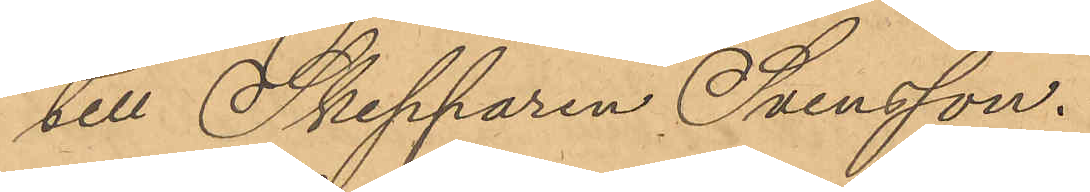till Skepparen Svensson.
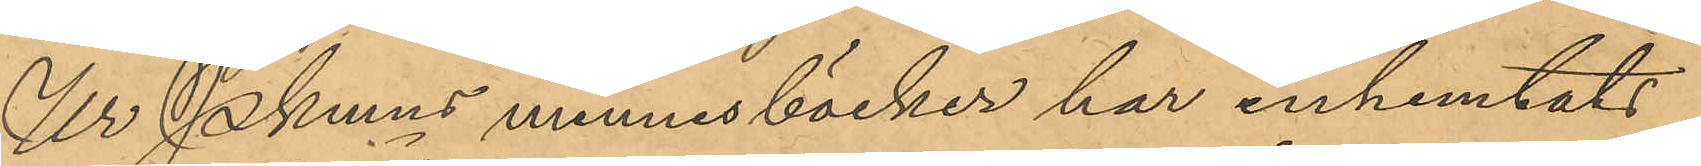Ur Pkmns minnesböcker har inhemtats
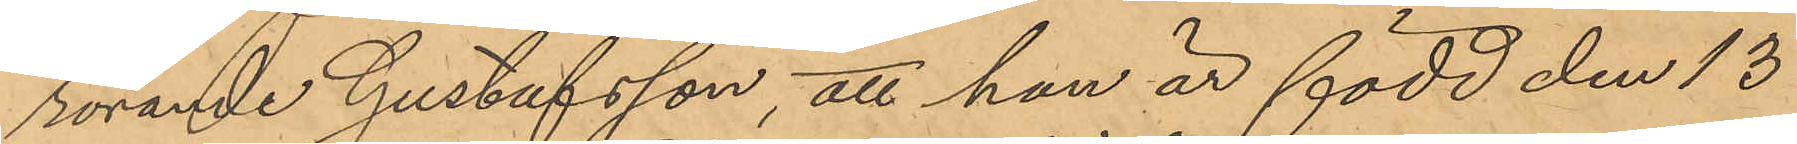rörande Gustafsson, att han är född den 13
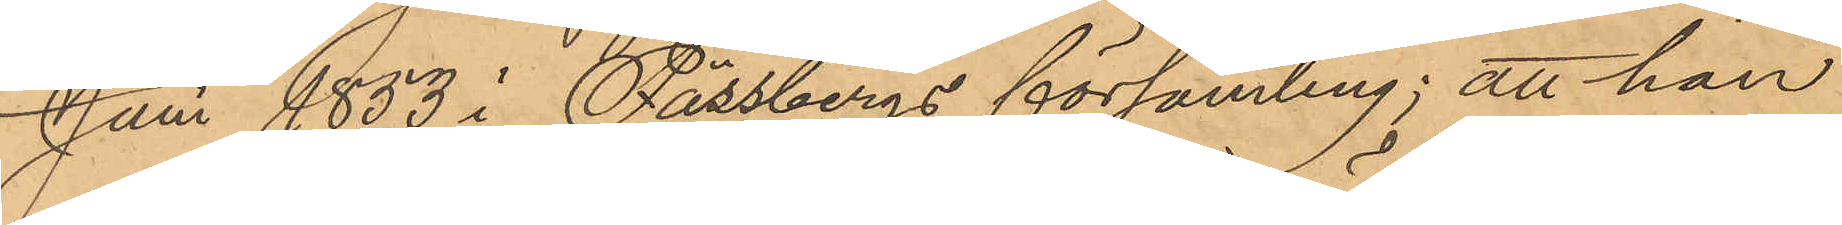Juni 1853 i Fässbergs församling; att han
